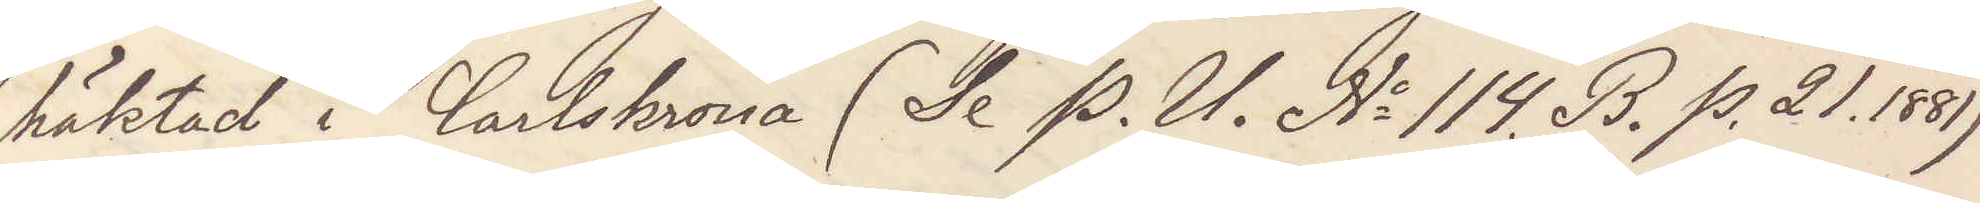häktad i Carlskrona (Se P. U. No 114. B. p. 21. 1881)
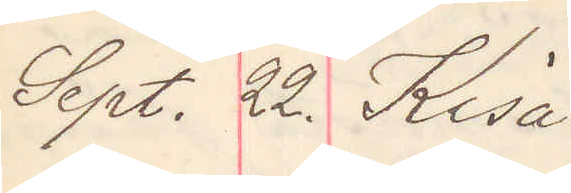Sept. 22. Kisa
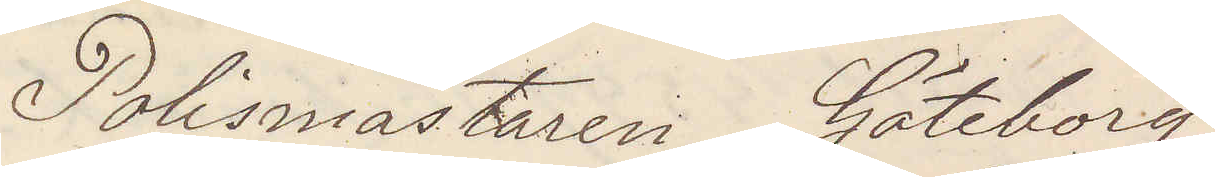Polismästaren Göteborg
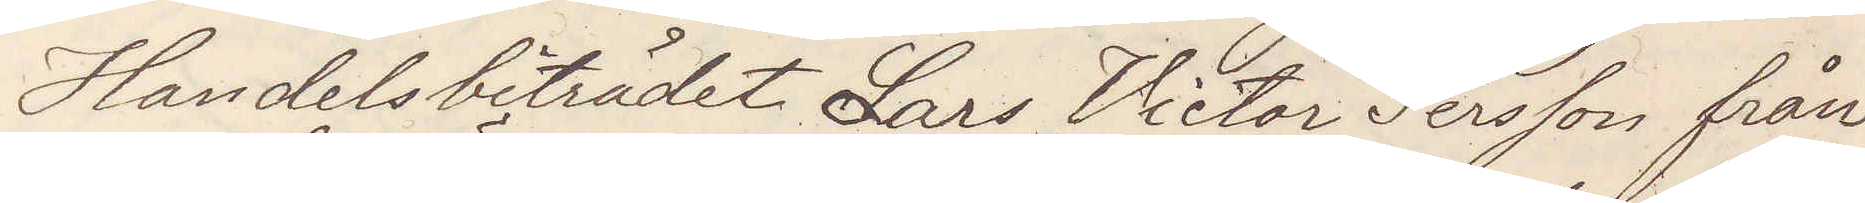Handelsbiträdet Lars Victor Persson från
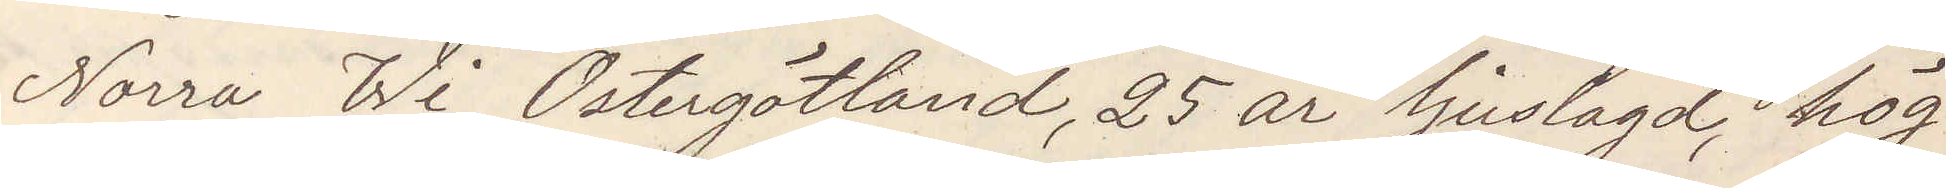Norra Wi, Östergötland, 25 år ljuslagd, hög
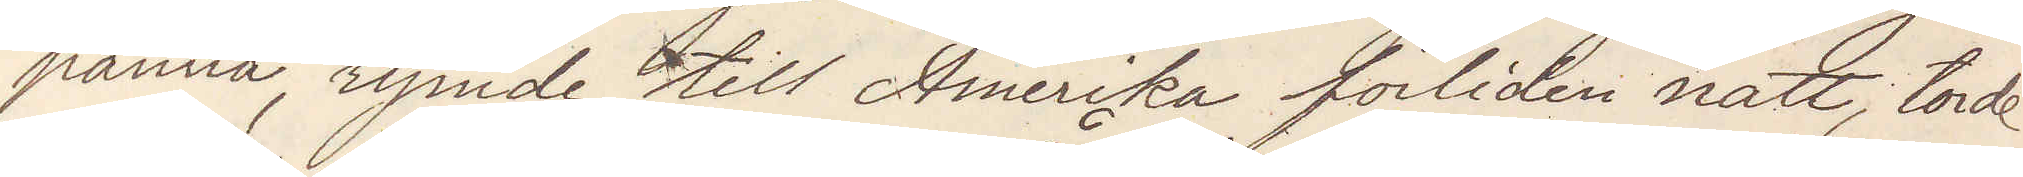panna, rymde till Amerika förliden natt, torde
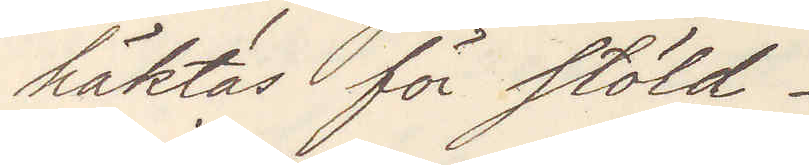häktas för stöld.
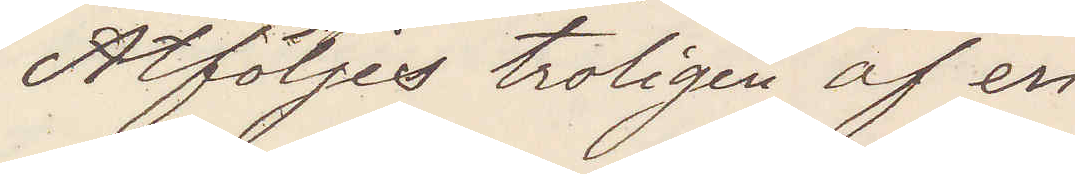Åtföljes troligen af en
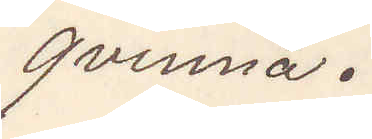qvinna.
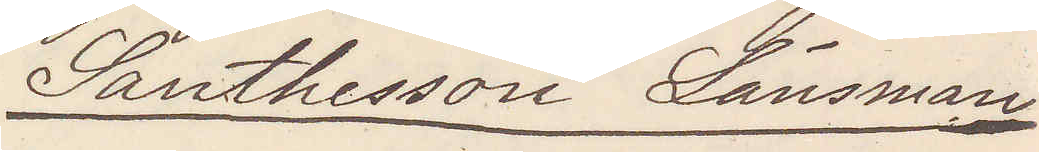Santhesson Länsman
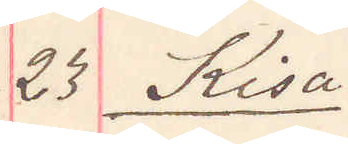23 Kisa
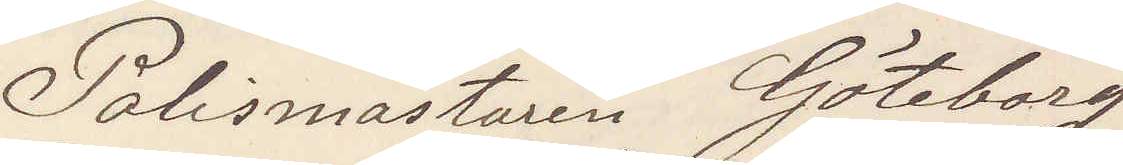Polismästaren Göteborg
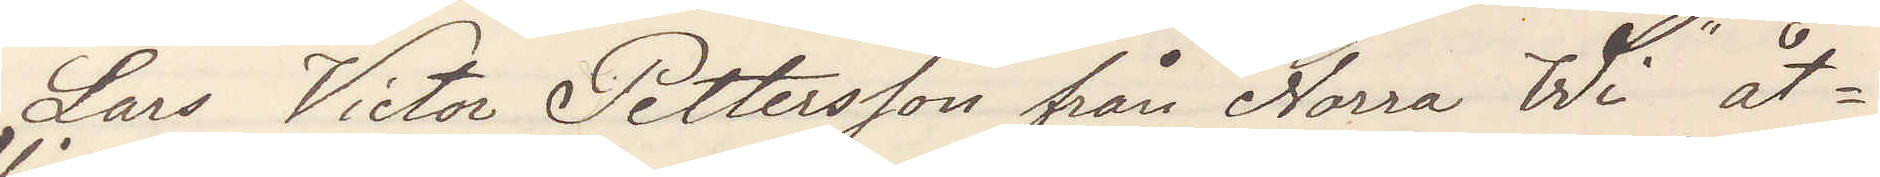Lars Victor Pettersson från "Norra Wi" åt¬
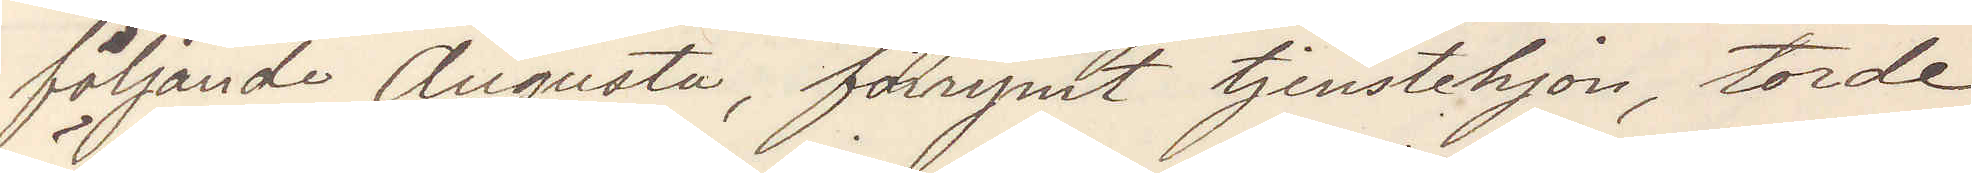följande Augusta, förrymt tjenstehjon, torde
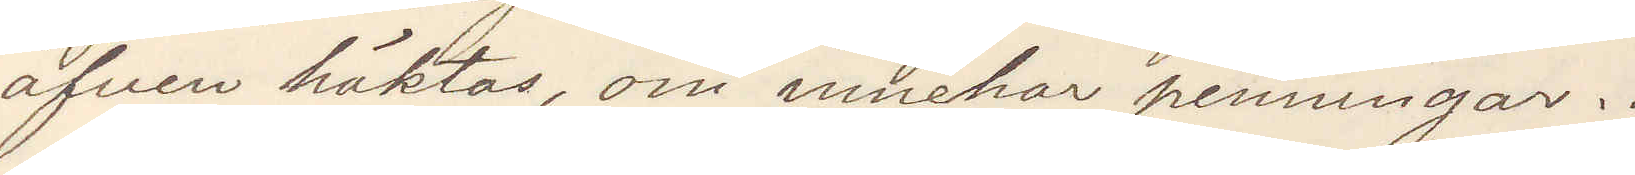äfven häktas, om innehar penningar.
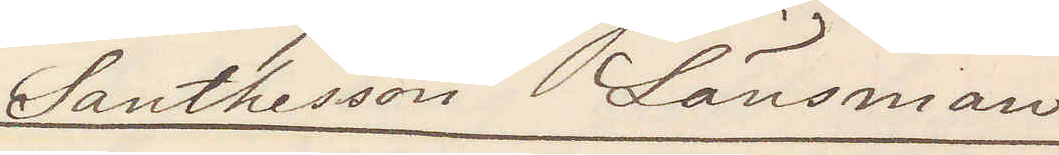Santhesson Länsman
